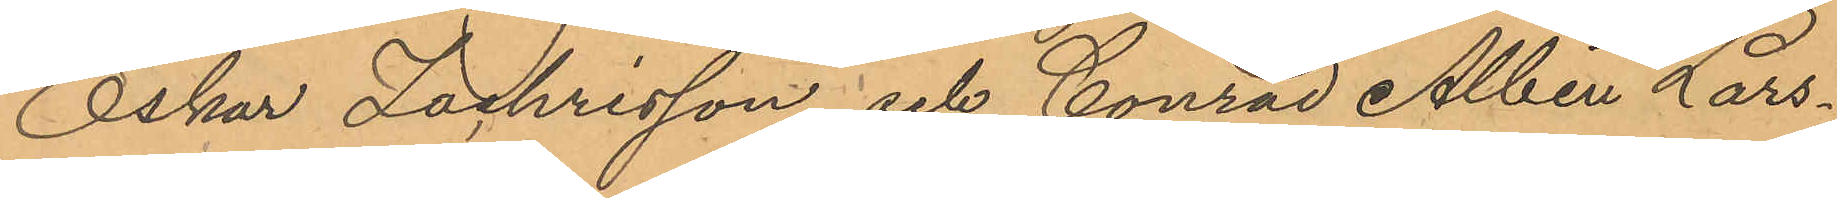Oskar Zachrisson och Conrad Albin Lars¬
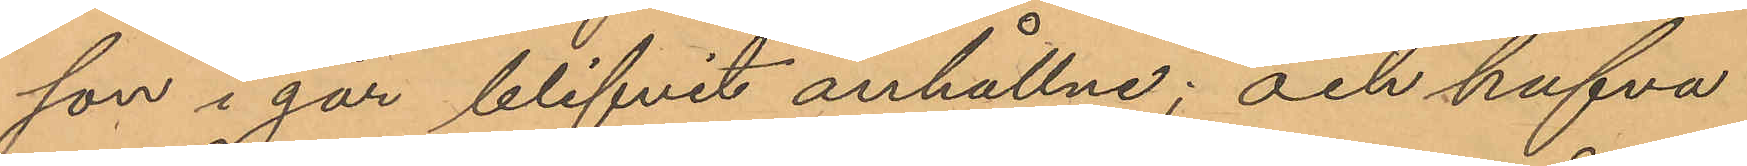son i går blifvit anhållne; och hafva
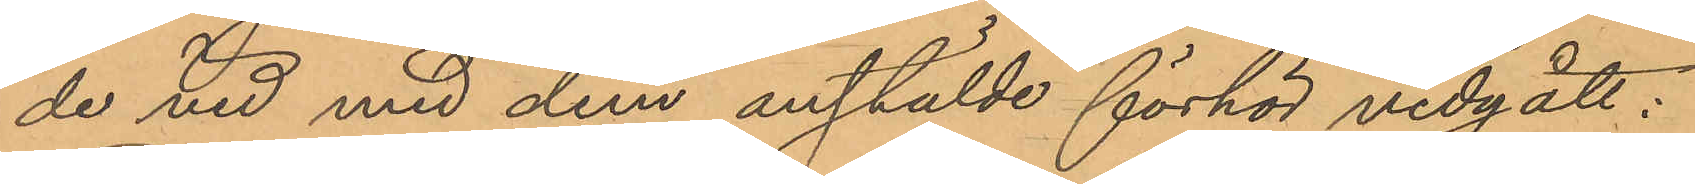de vid med dem anstälde förhör vidgått:
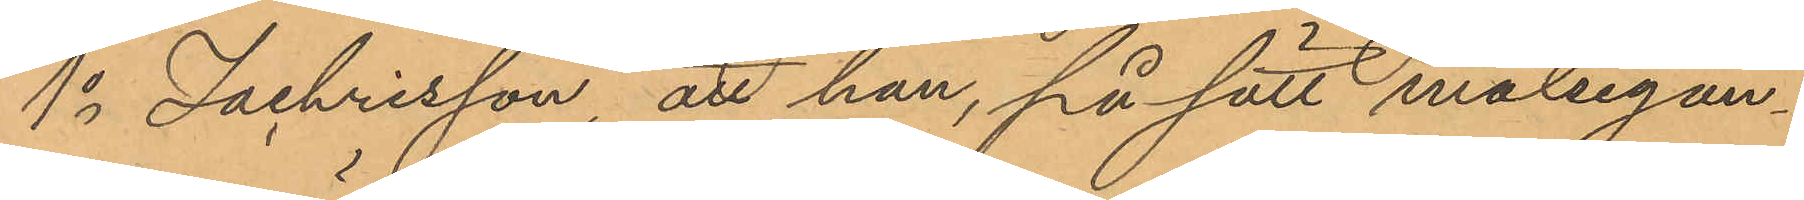1o Zachrisson att han, på sätt målsegan¬
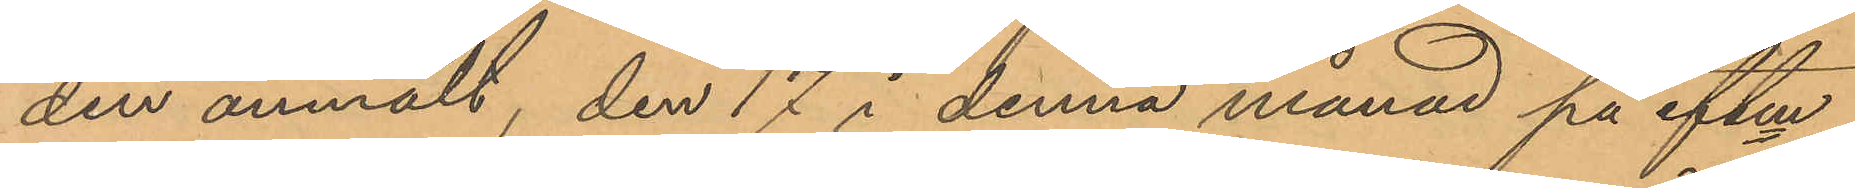den anmält, den 17 i denna månad på eftm
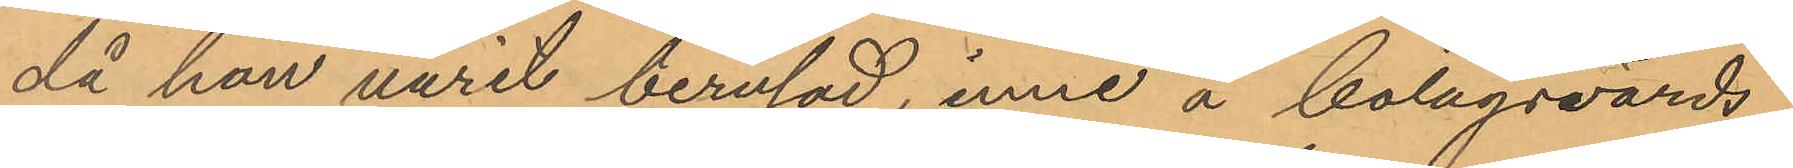då han varit berusad, inne å bolagsvärds¬
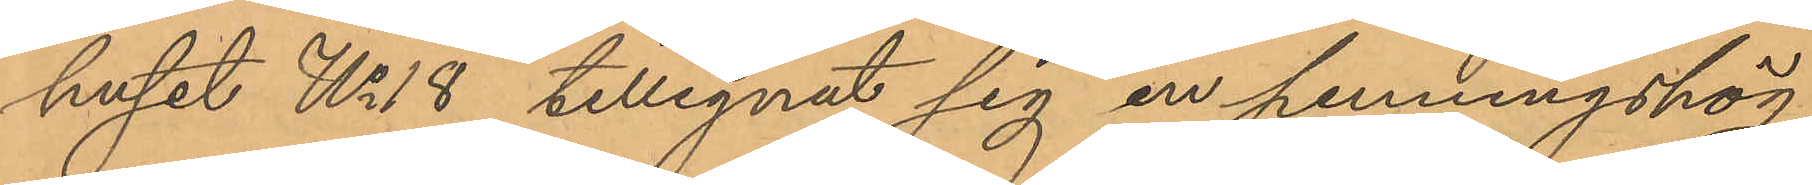huset No 18 tillegnat sig en penningshög
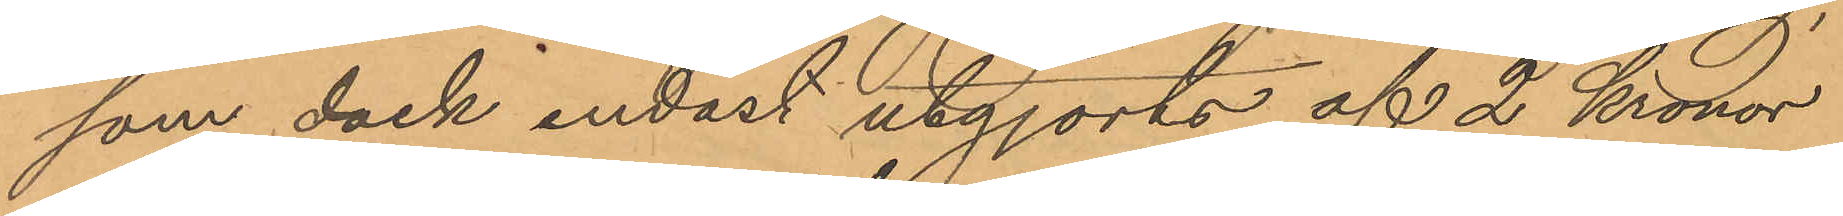som dock endast utgjorts af 2 Kronor
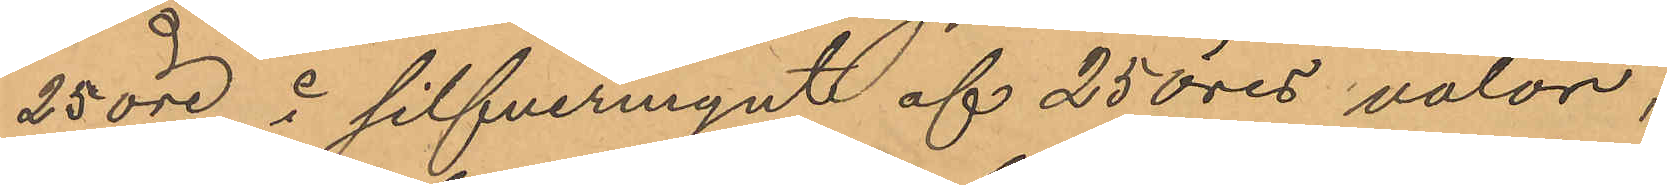25 öre i silfvermynt af 25 öres valör;
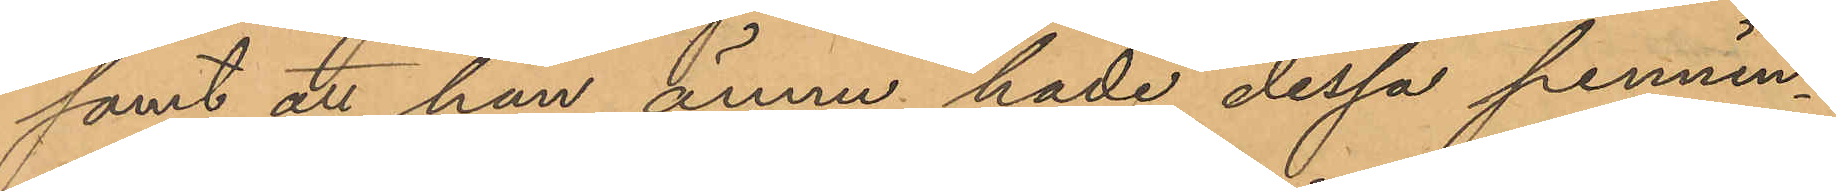samt att han ännu hade dessa pennin¬
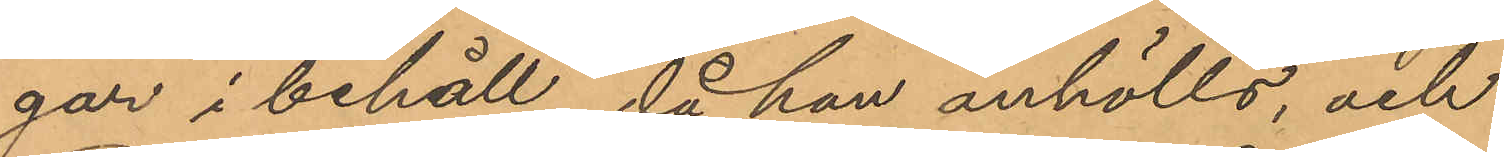gar i behåll, då han anhölls, och
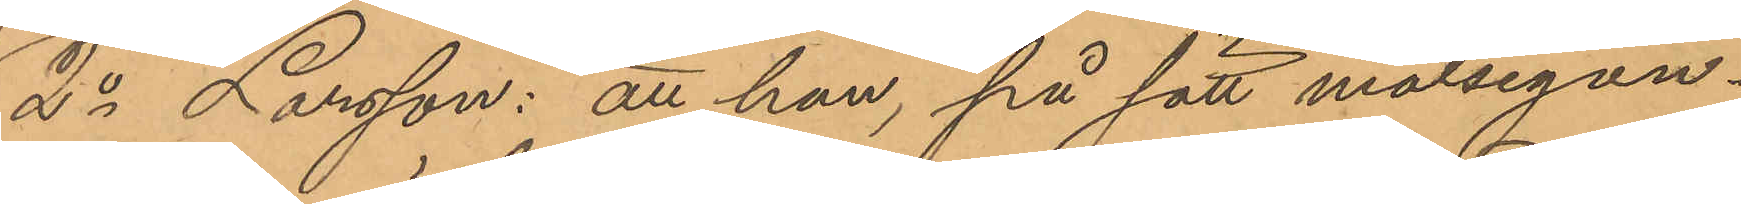2o Larsson: att han, på sätt målsegan¬
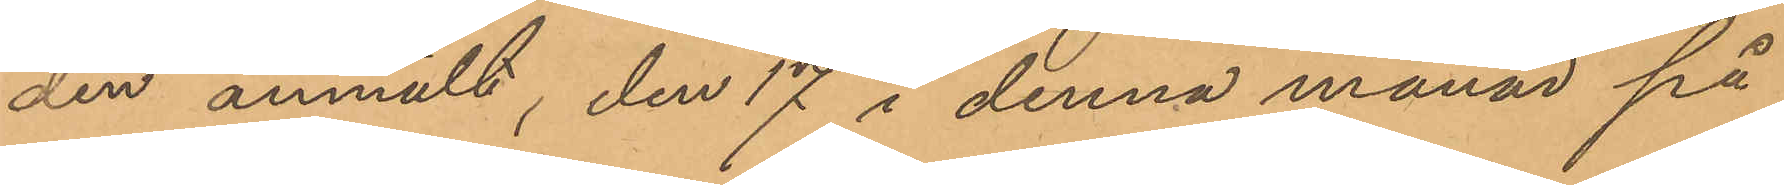den anmält, den 17 i denna månad på
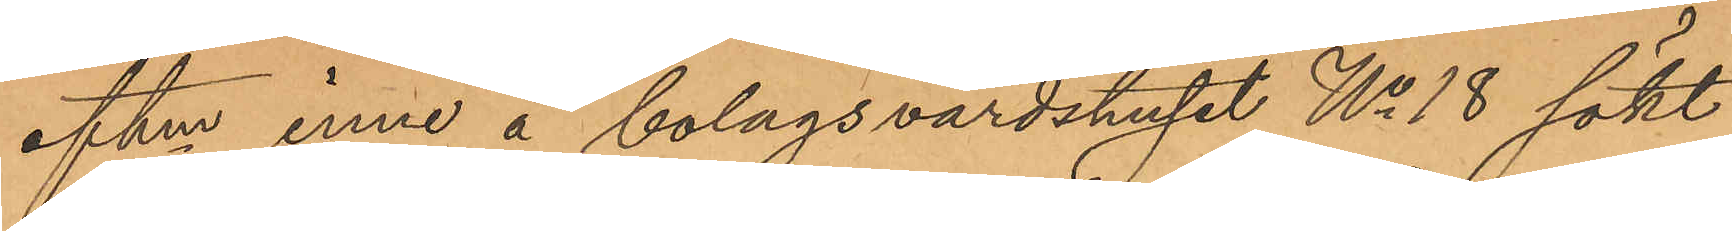eftm inne å bolagsvärdshuset No 18 sökt
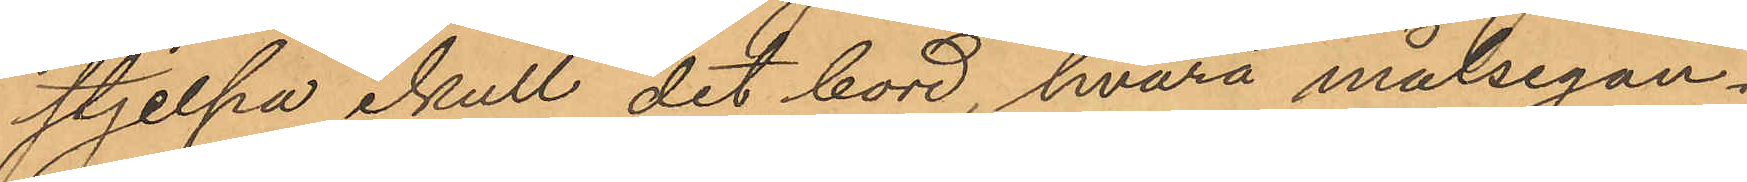stjelpa ikull det bord, hvarå målsegan¬
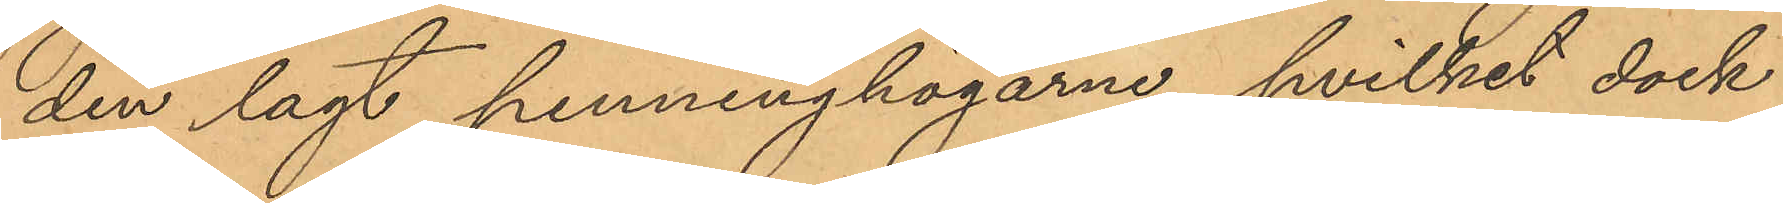den lagt penninghögarne, hvilket dock
